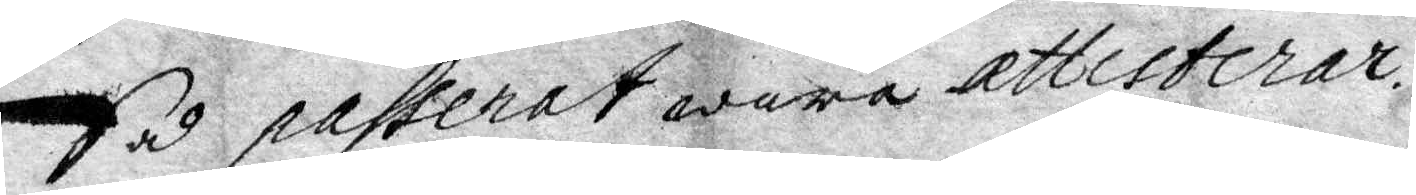Så passerat wara attesterar.
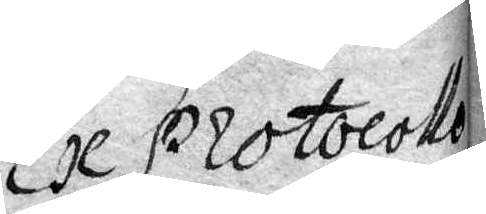Ex Protocollo
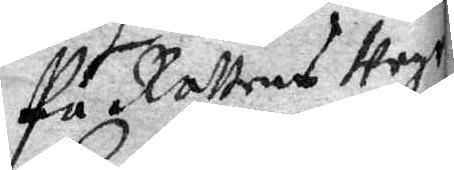på Rättens weg
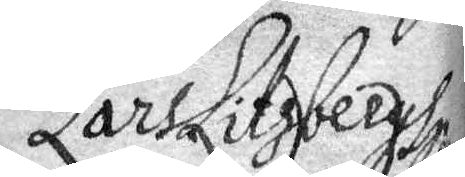Lars Litzbergh
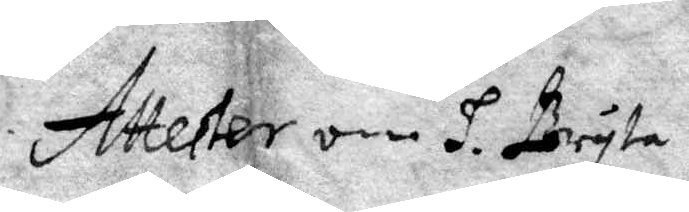Attester om H. Bryta
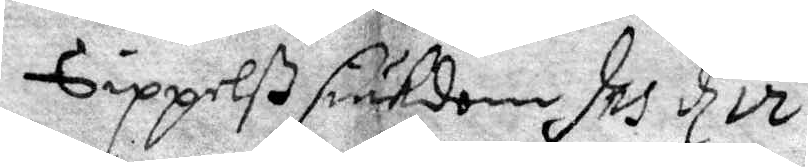Sippelß siukdom, Ins d 12
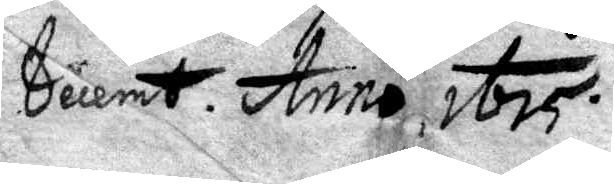Decemb. Anno 1675.
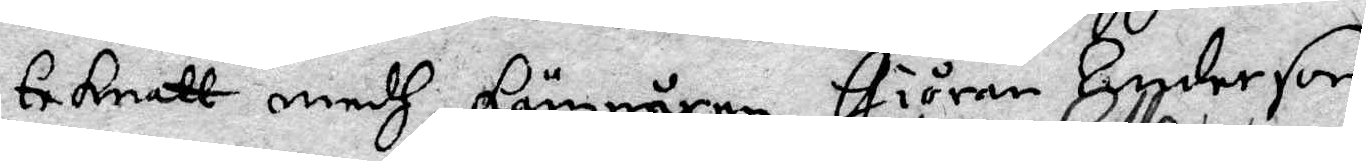teknatt medh kämnären Giöran Anderson
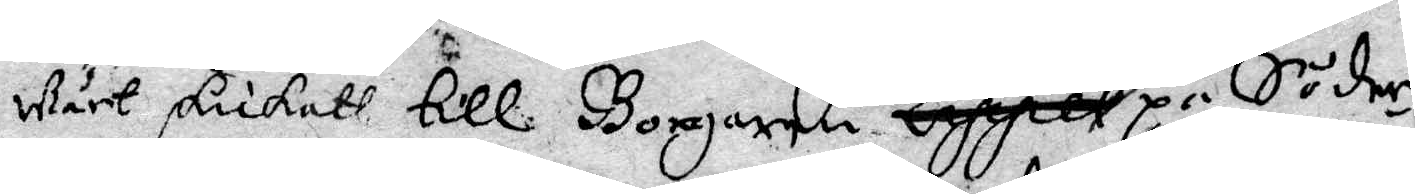wårt skickatt till Borgaren Jörgen Galle på Söder¬
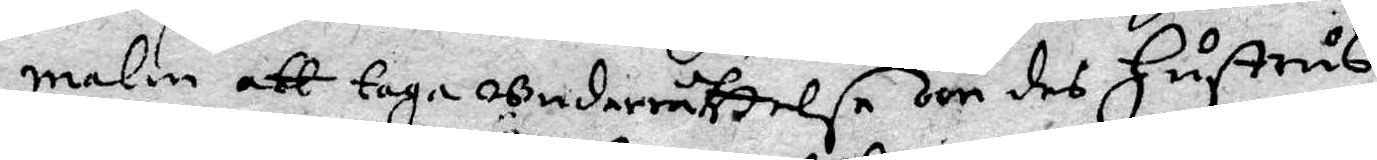malm att taga underrättelse om des Hustrus
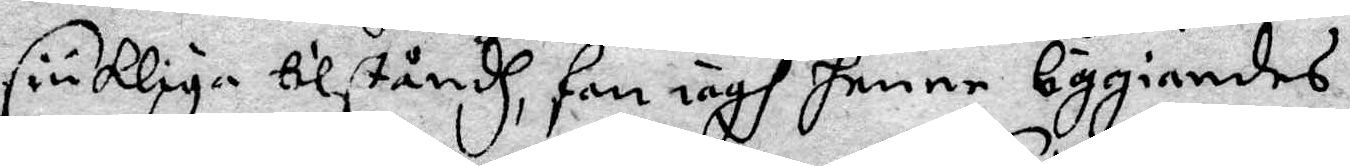siukliga tilståndh, som iagh henne liggiandes,
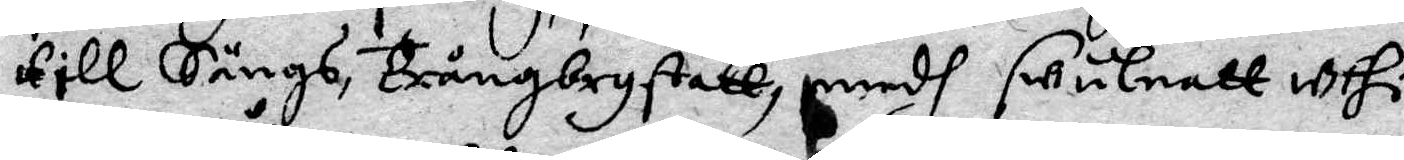till Sängs, trångbrystatt, medh swulnatt uthi
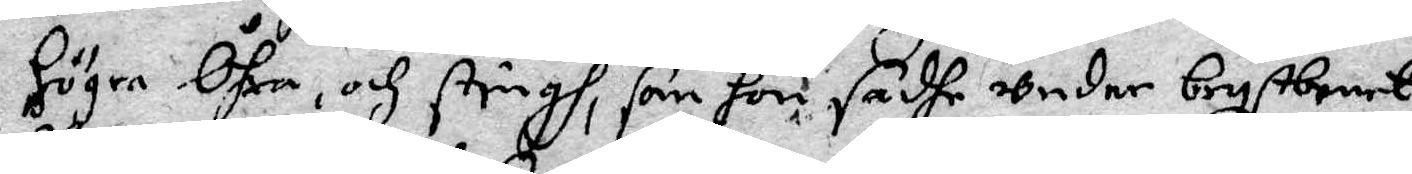högra Öhra, och stingh, som hon sadhe under brystbenet
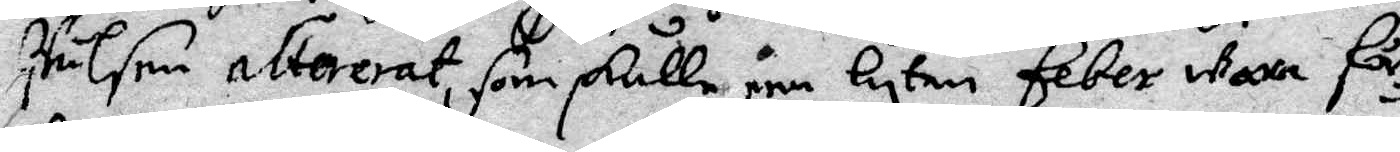Wälsom altererat, som skulle een lyten feber wara för¬
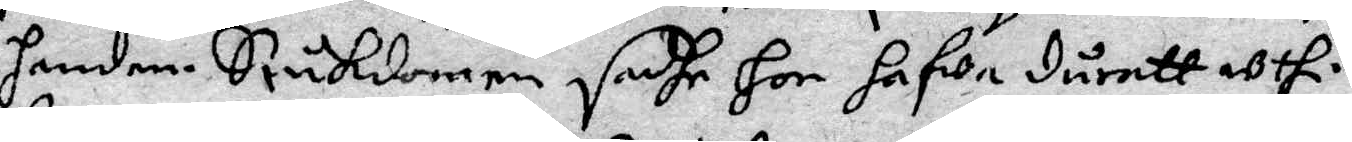handen. Siukdomen, sadhe hon hafwa durett uthi
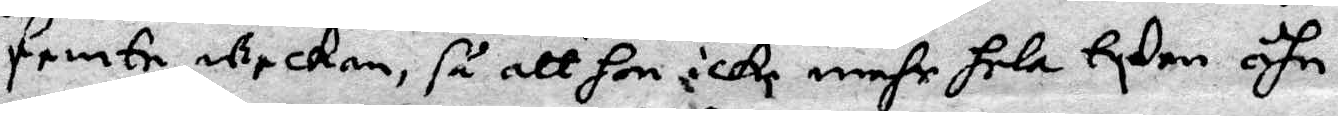femte weckan, så att hon icke mehr hela tyden ähn
